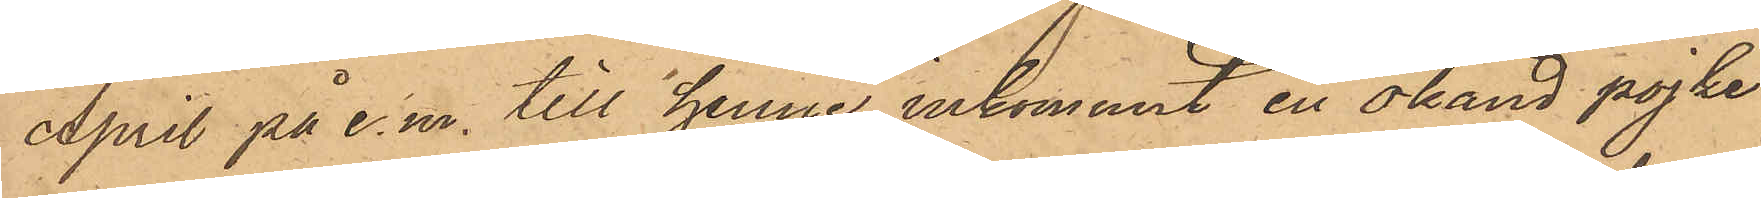April på e. m. till henne inkommit en okänd pojke
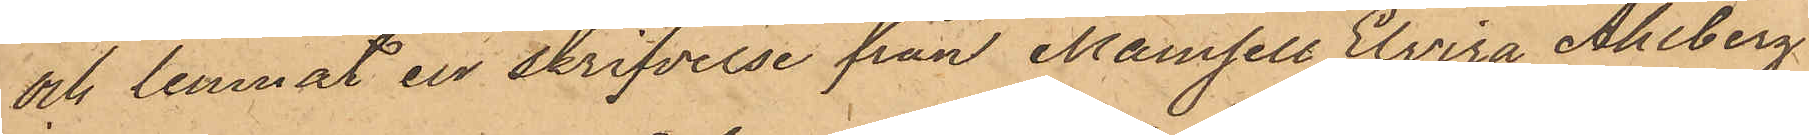och lemnat en skrifvelse från Mamsell Elvira Ahlberg
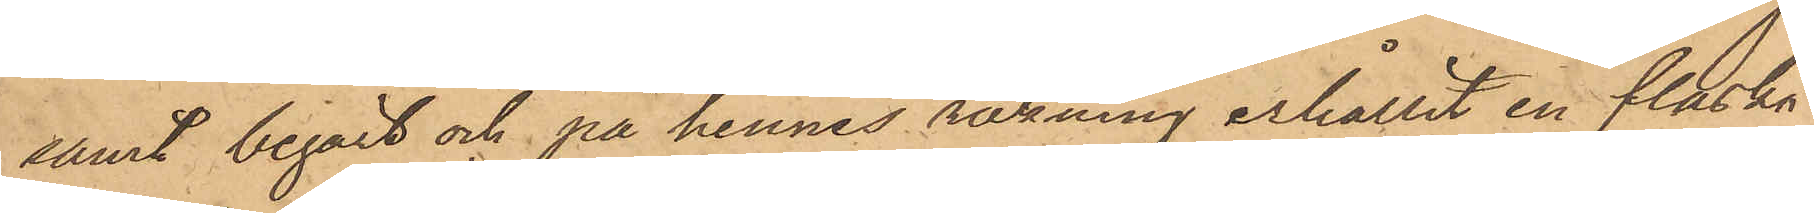samt begärt och på hennes räkning erhållit en flaska
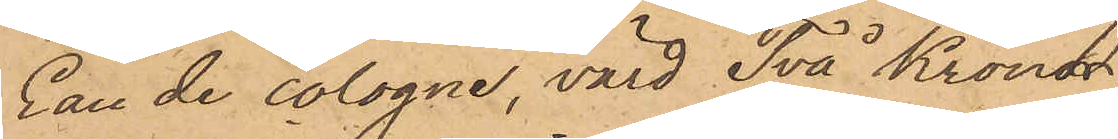Eau de cologne, värd Två Kronor;
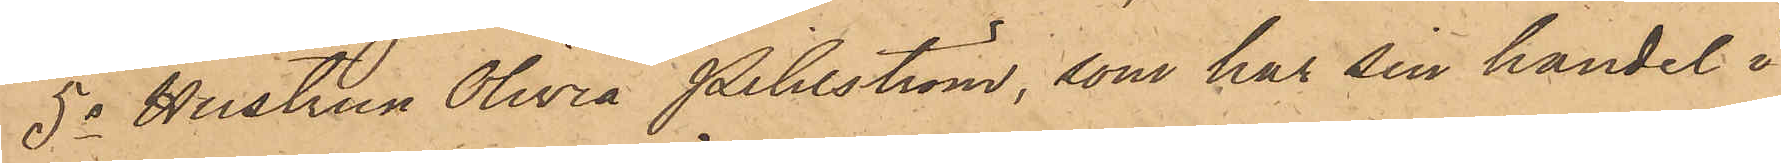5o Hustrun Olivia Pihlström, som har sin handel i
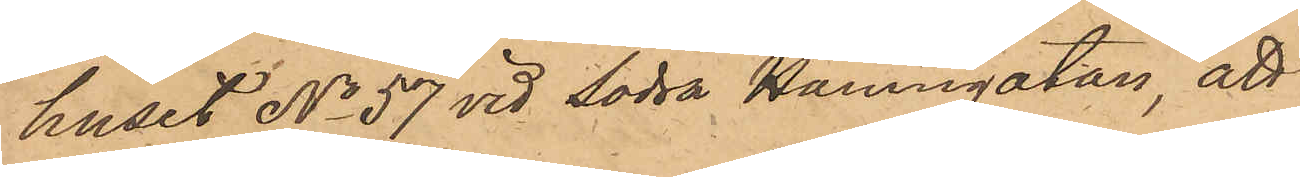huset No 57 vid Södra Hamngatan, att
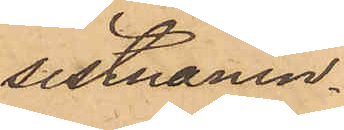sistnämn¬
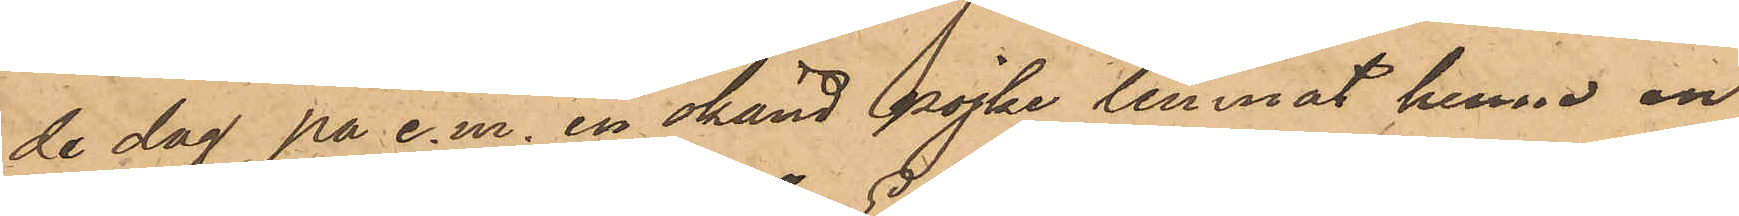de dag på e.m. en okänd pojke lemnat henne en
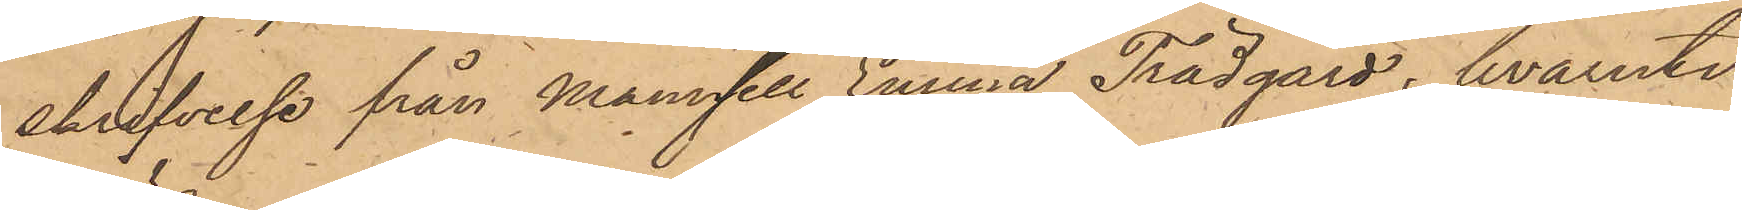skrifvelse från Mamsell Emma Trädgård, hvaruti
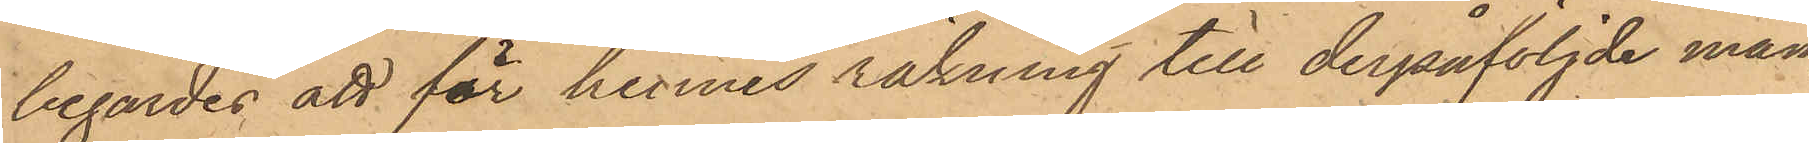begärdes att för hennes räkning till derpåföljde mån¬
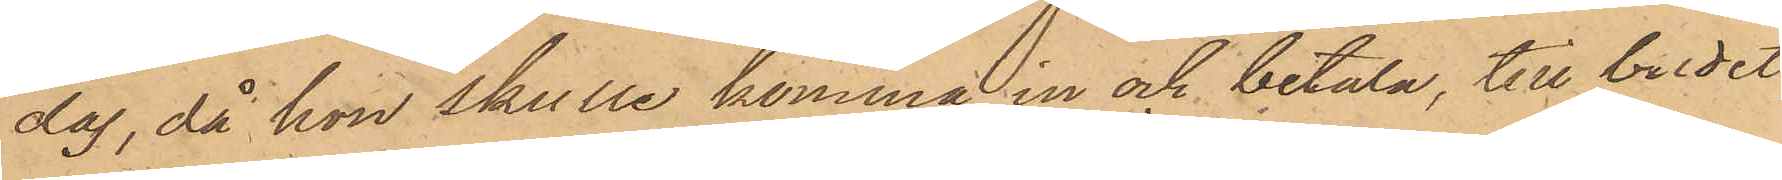dag, då hon skulle komma in och betala, till budet
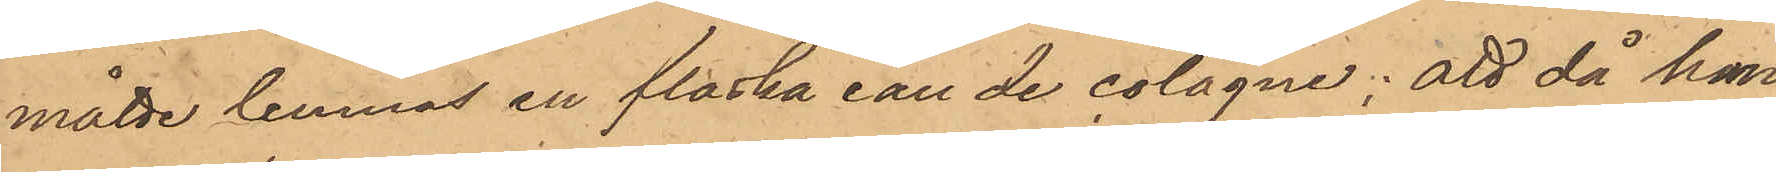måtte lemnas en flaska eau de cologne; att då han
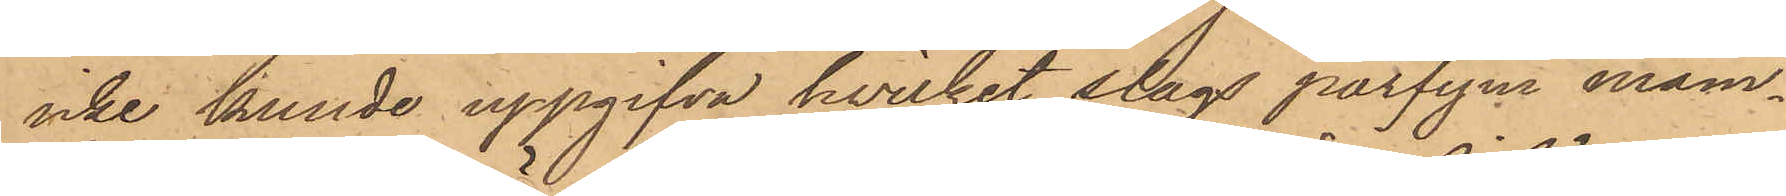icke kunde uppgifva hvilket slags parfym mam¬
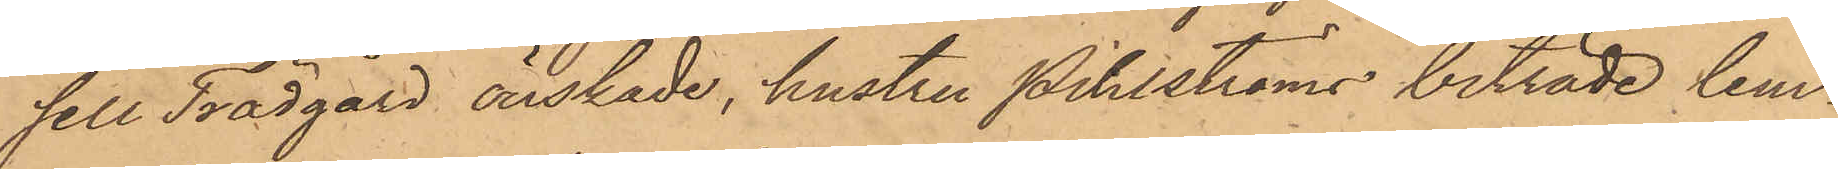sell Trädgård önskade, hustru Pihlströms biträde lem¬
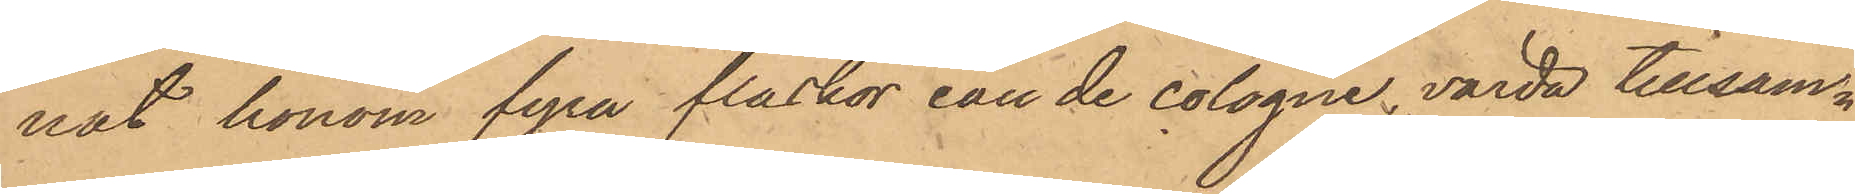nat honom fyra flaskor eau de colagne, värda tillsam¬
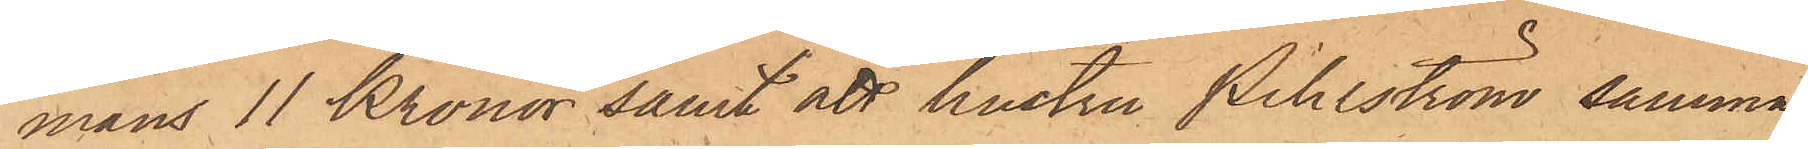mans 11 Kronor samt att hustru Pihlström samma
